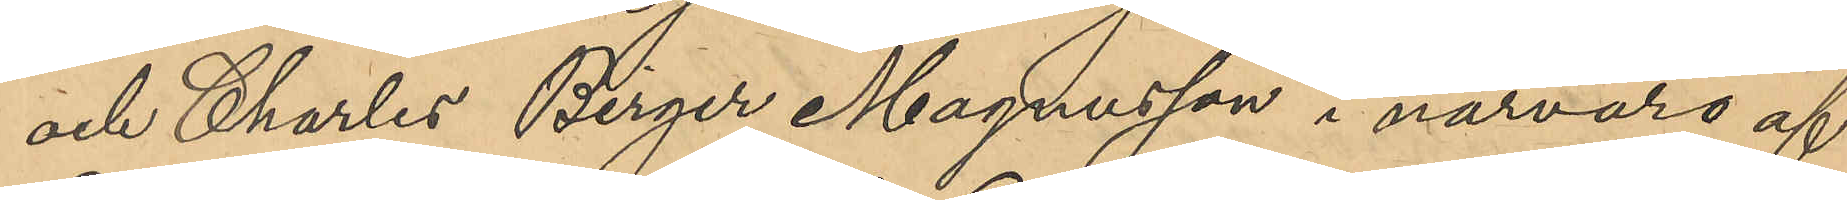och Charles Birger Magnusson i närvaro af
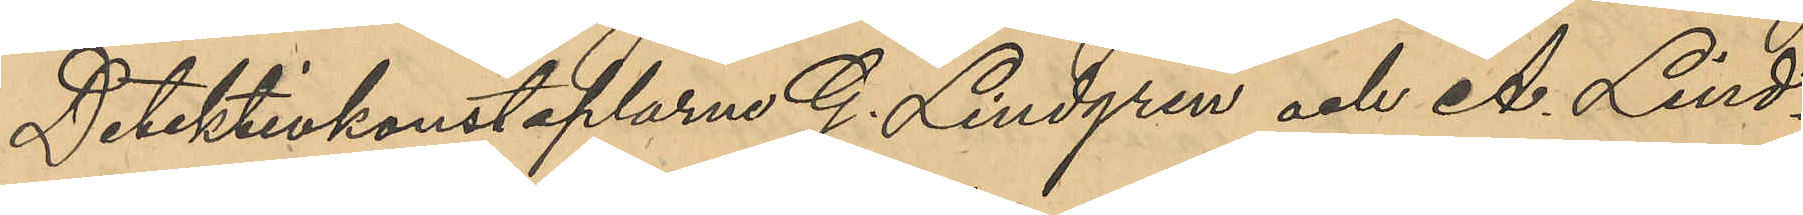Detektivkonstaplarne Lindgren och A. Lind¬
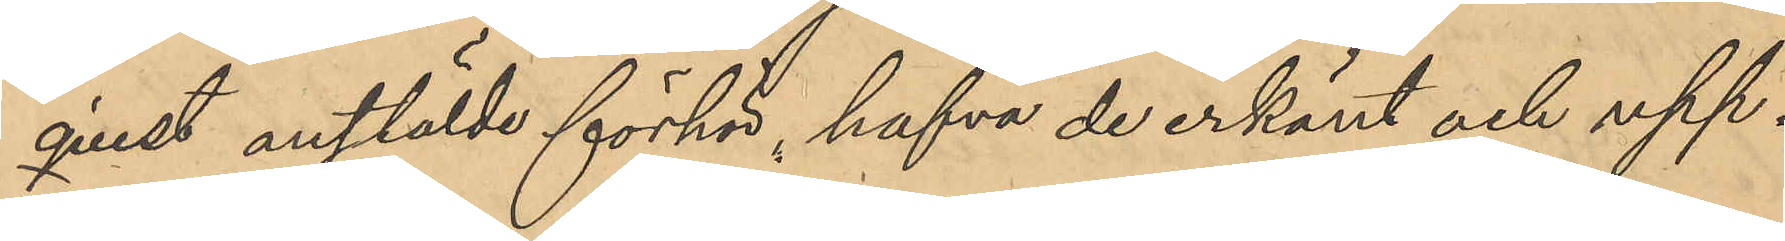qvist anstälde förhör, hafva de erkänt och upp¬
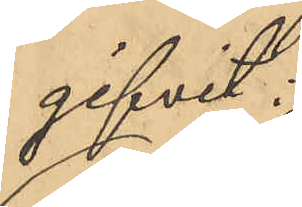gifvit:
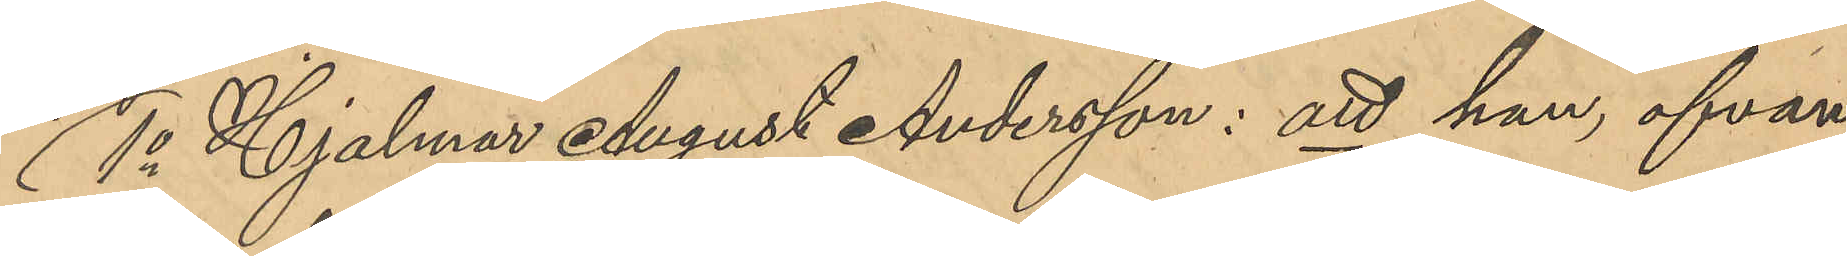1o Hjalmar August Andersson: att han, ofvan¬
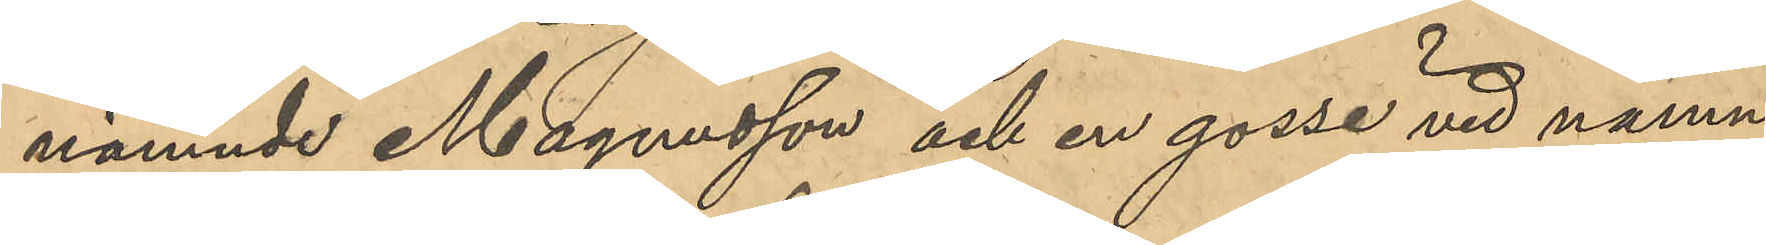nämnde Magnusson och en gosse vid namn
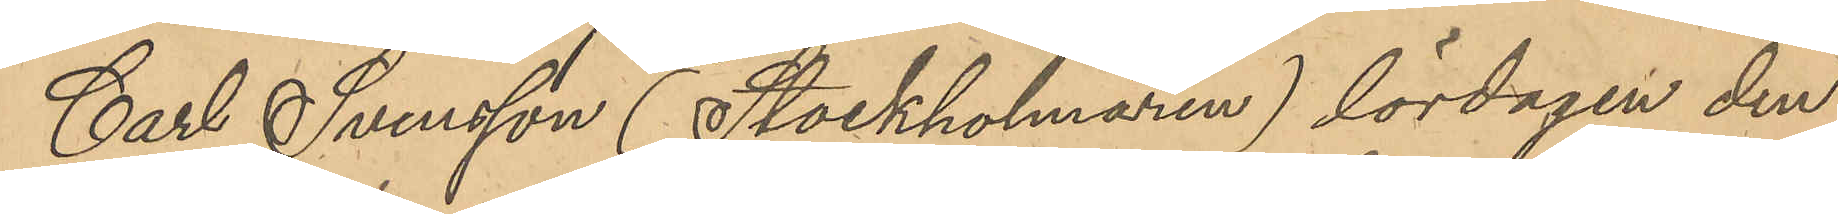Carl Svensson (Stockholmaren) lördagen den
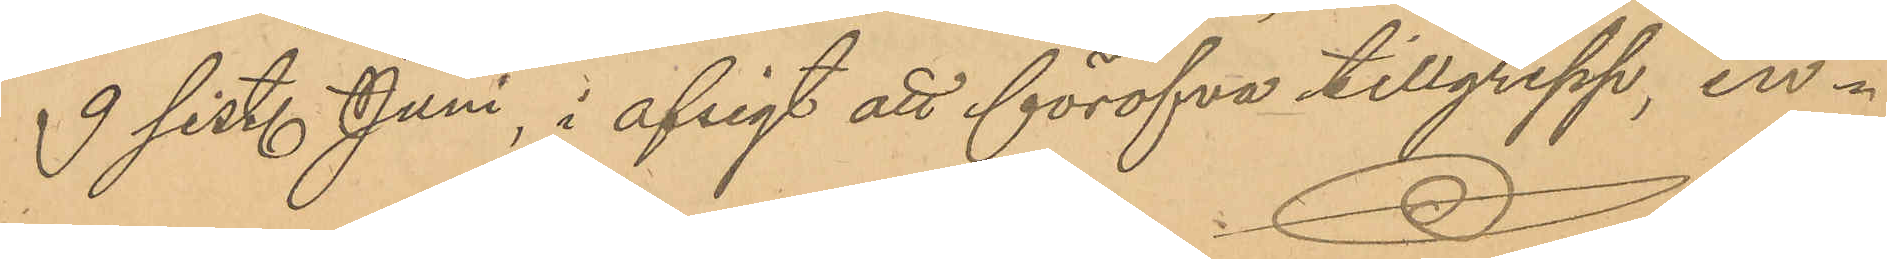9 sistl Juni, i afsigt att föröfva tillgrepp, in¬
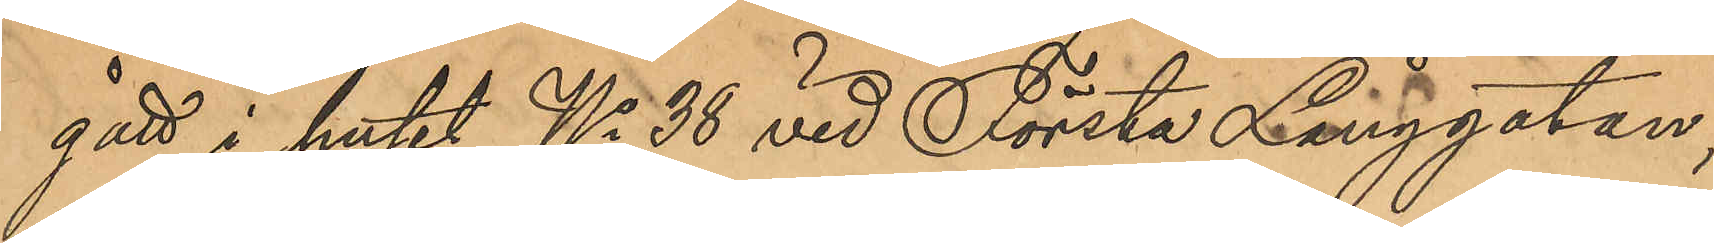gått i huset No 38 vid Första Långgatan,
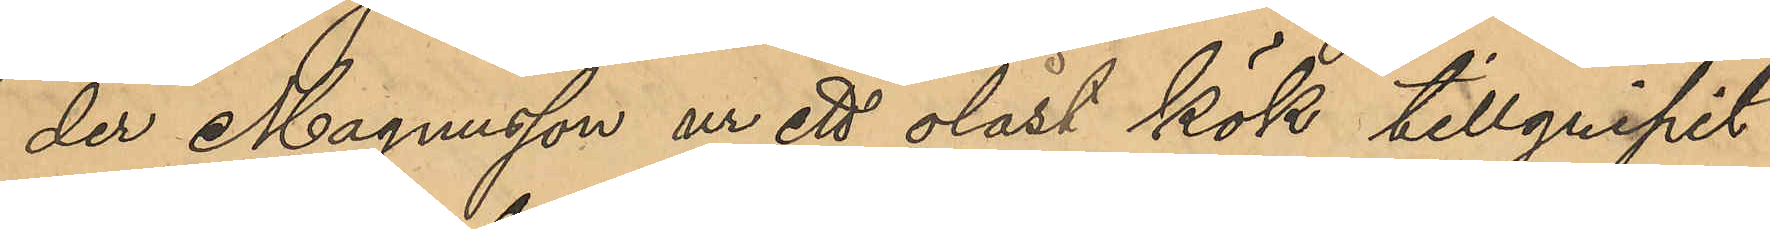der Magnusson ur ett olåst kök tillgripit
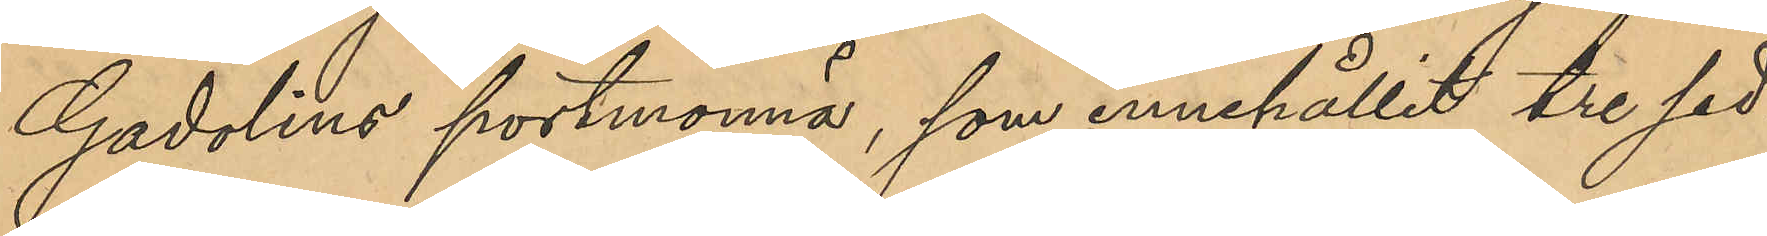Gadolins portmonnä, som innehållit tre sed¬
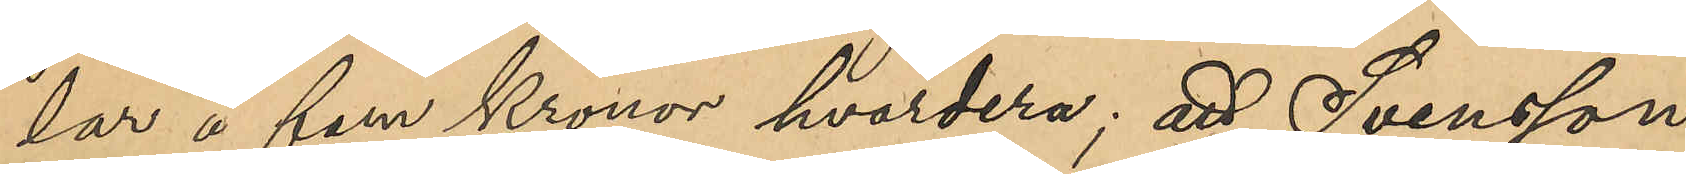lar å fem kronor hvardera; att Svensson
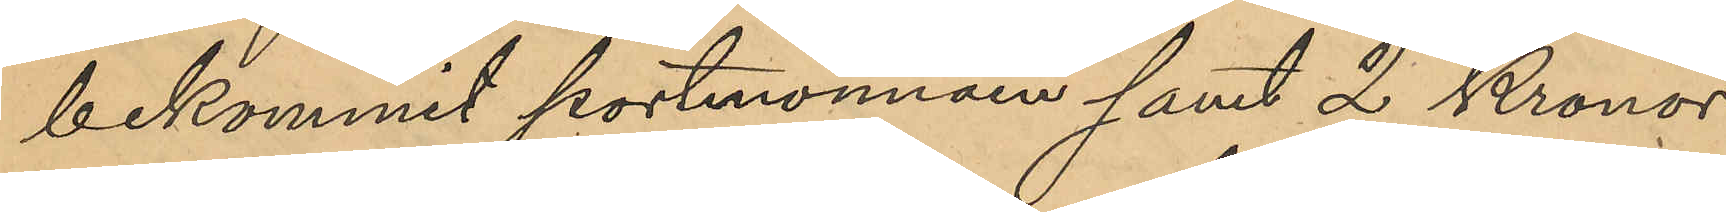bekommit portmonnän samt 2 Kronor 
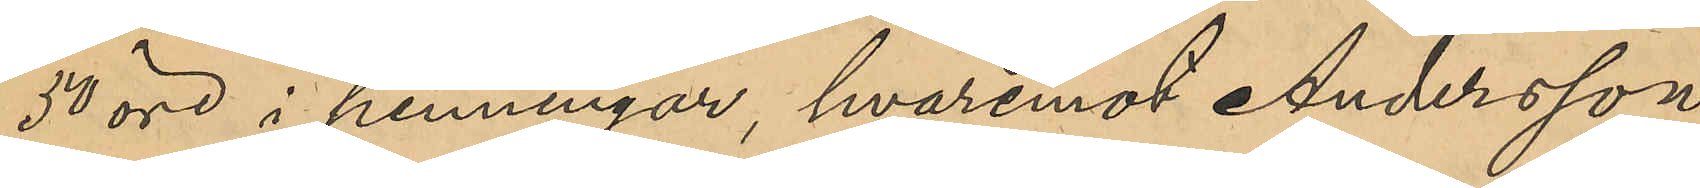50 öre i penningar, hvaremot Andersson
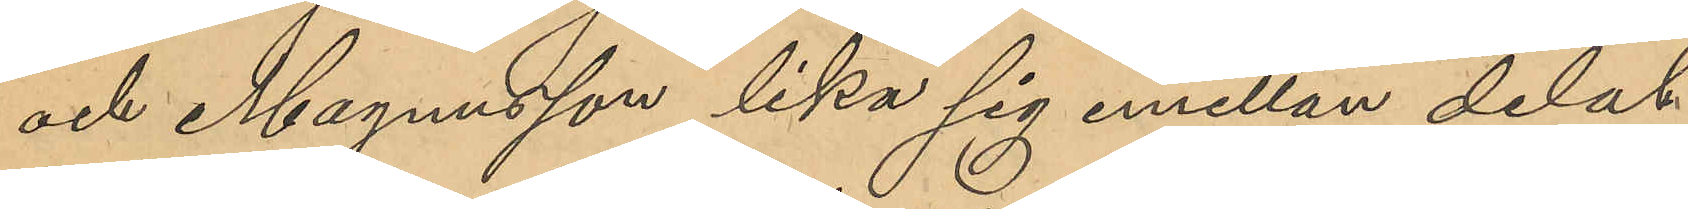och Magnusson lika sig emellan delat
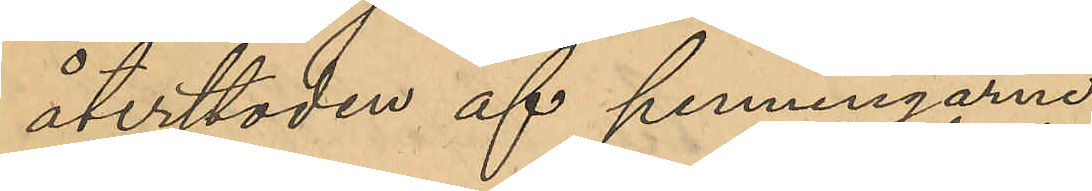återstoden av penningarne.
